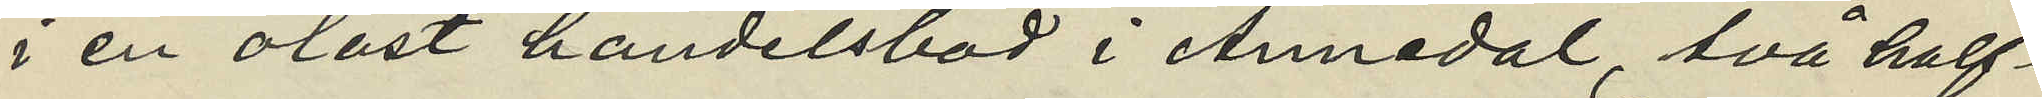i en olåst handelsbod i Annedal, två half¬
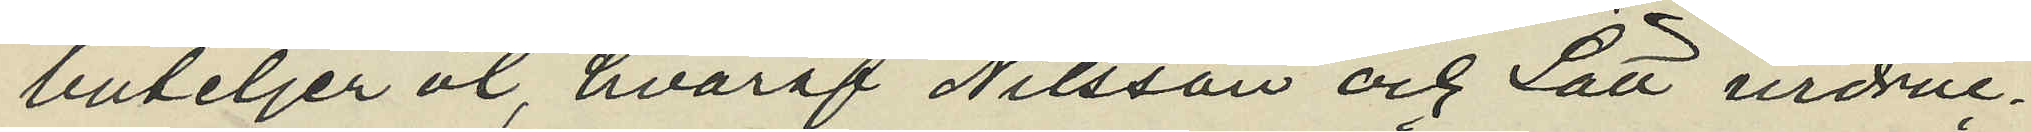buteljer öl, hvaraf Nilsson och Lätt urdruc¬
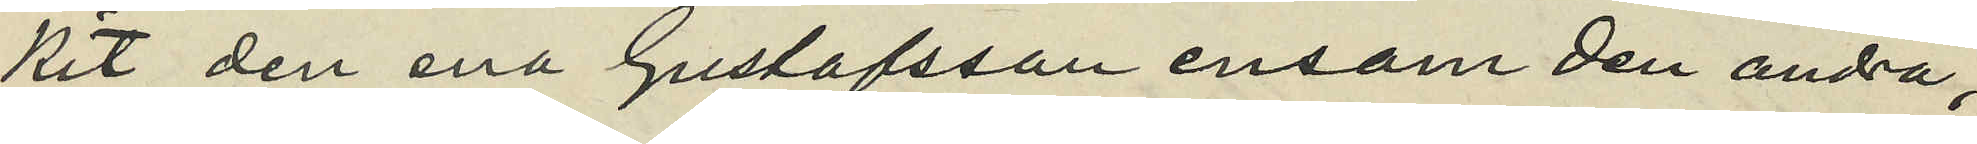kit den ena Gustafsson ensam den andra,
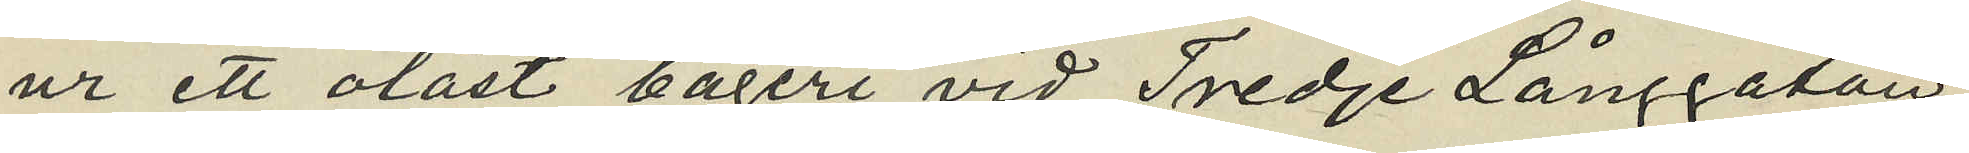ur ett olåst bageri vid Tredje Långgatan
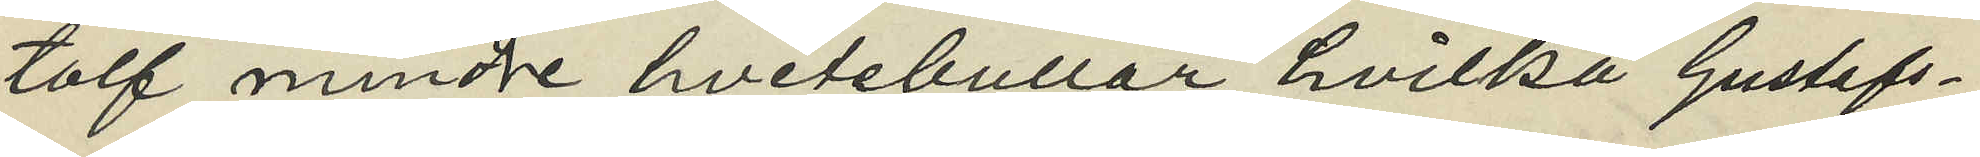tolf mindre hvetebullar hvilka Gustafs¬
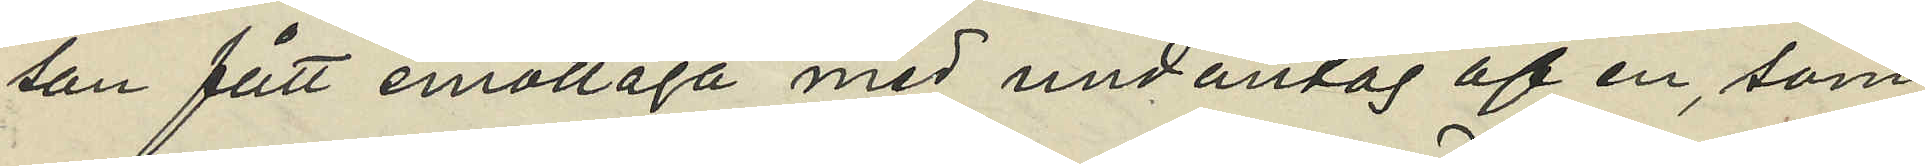son fått emottaga med undantag af en, som
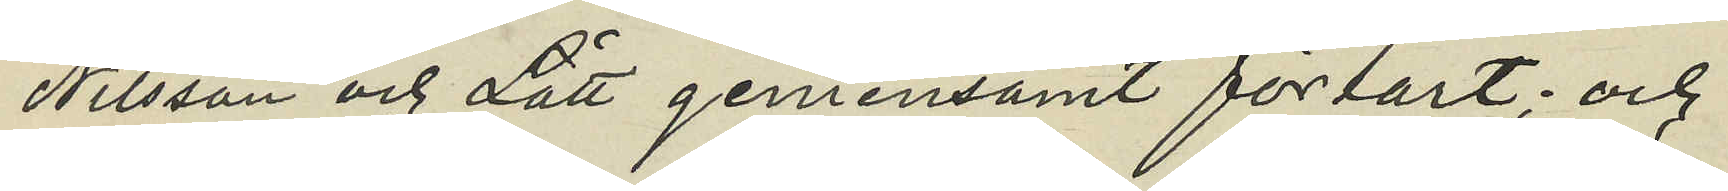Nilsson och Lätt gemensamt förtärt; och
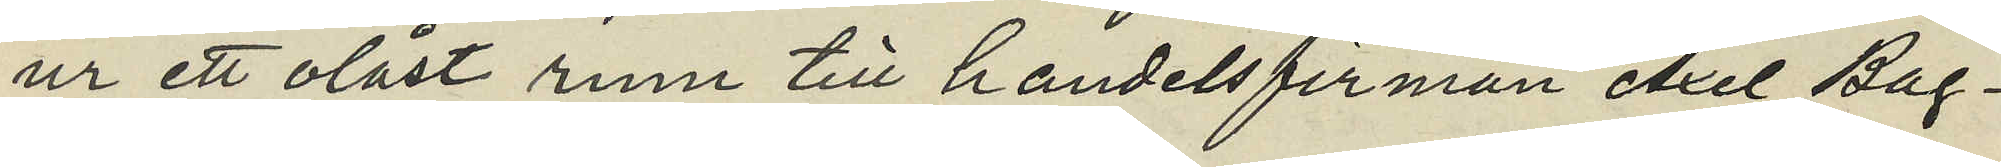ur ett olåst rum till handelsfirman Axel Bag¬
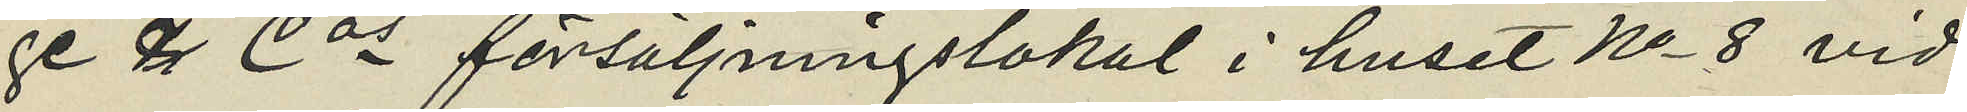ge & Cos försäljningslokal i huset No 8 vid
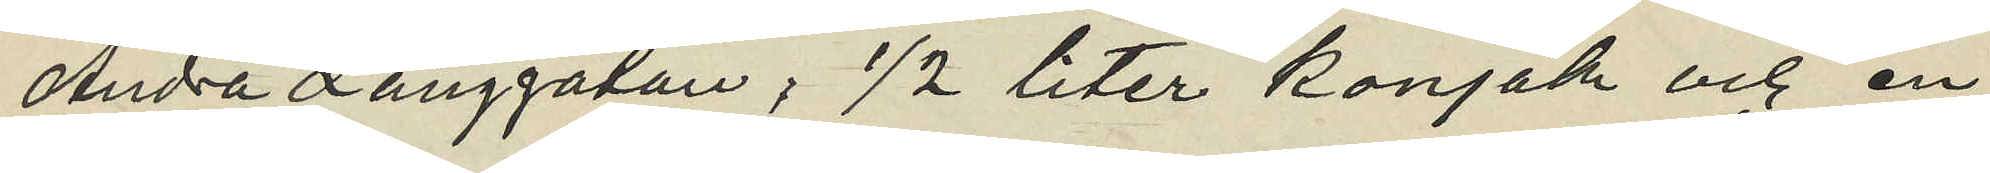Andra Långgatan; 1/2 liter konjak och en
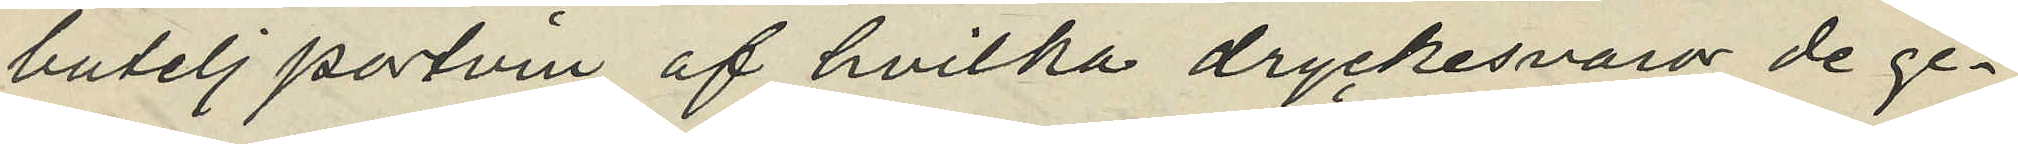butelj portvin af hvilka dryckesvaror de ge¬
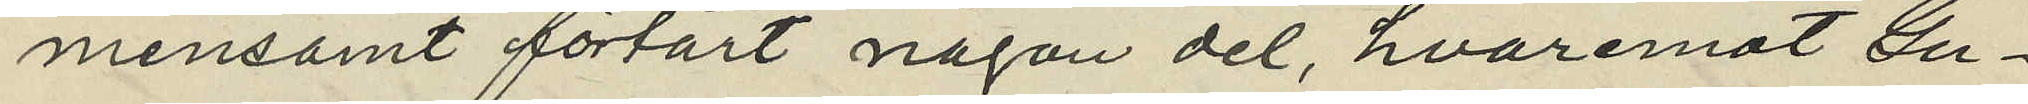mensamt förtärt någon del, hvaremot Gu¬
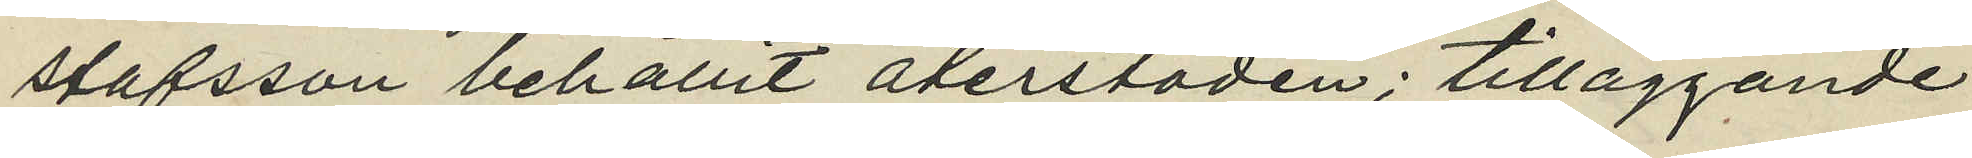stafsson behållit återstoden; tilläggande
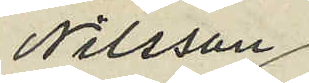Nilsson
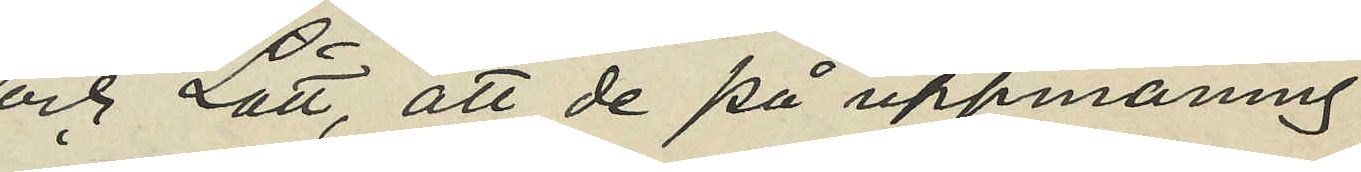och Lätt, att de på uppmaning
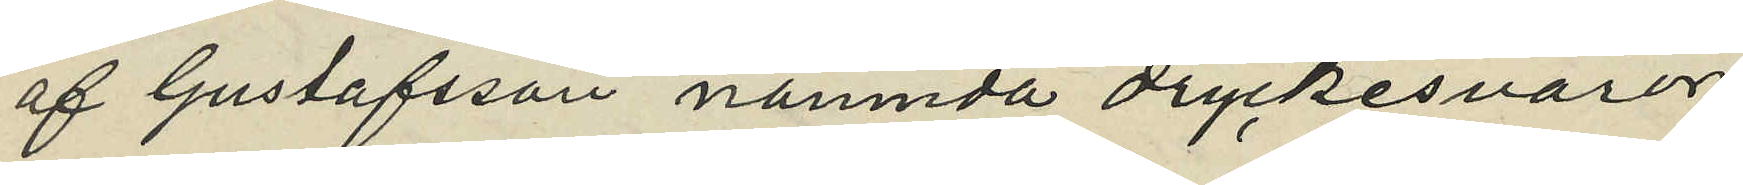af Gustafsson nämnda dryckesvaror.
